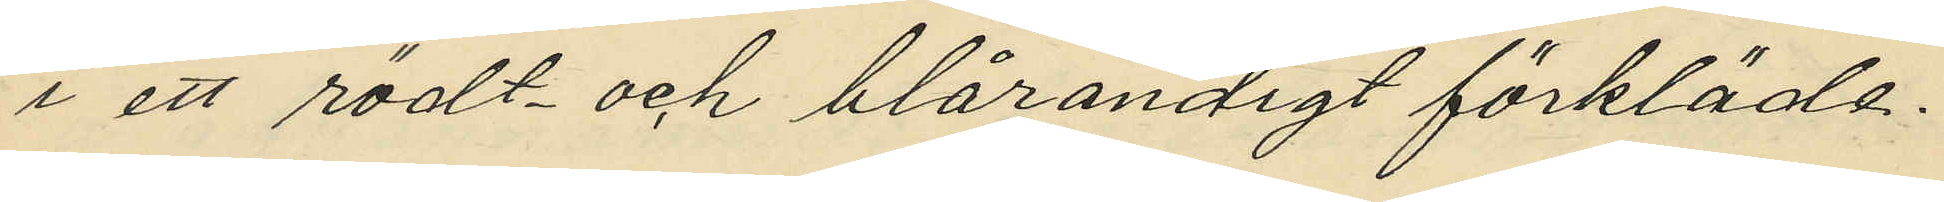i ett rödt- och blårandigt förkläde.
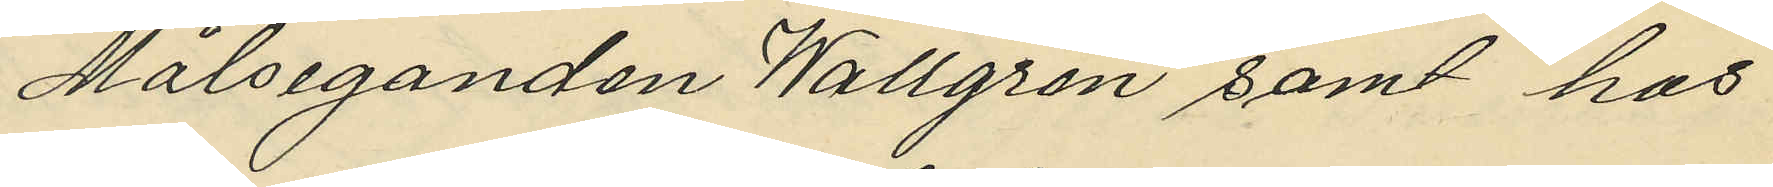Målseganden Wallgren samt hos
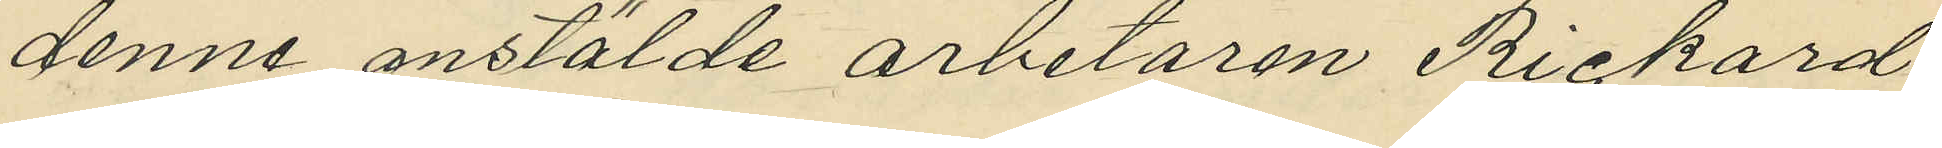denne anstälde arbetaren Rickard
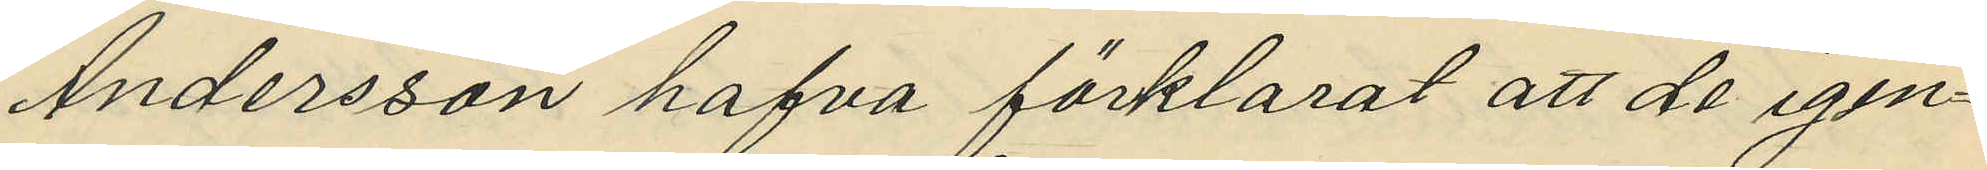Andersson hafva förklarat att de igen¬
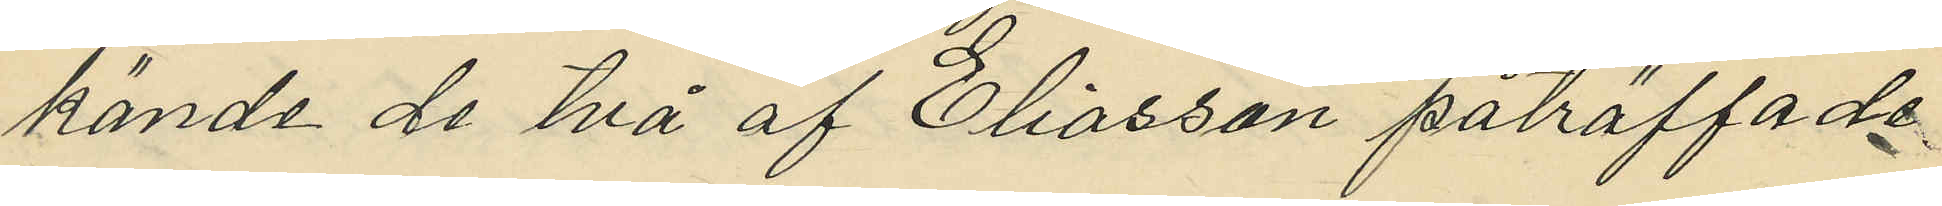kände de två af Eliasson påträffade
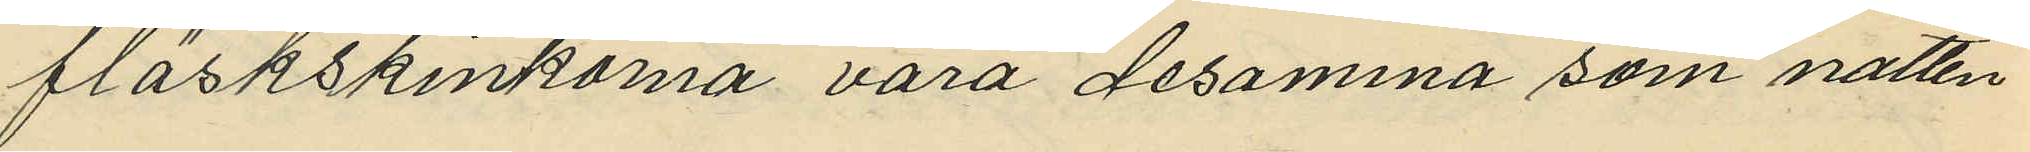fläskskinkorna vara desamma som natten
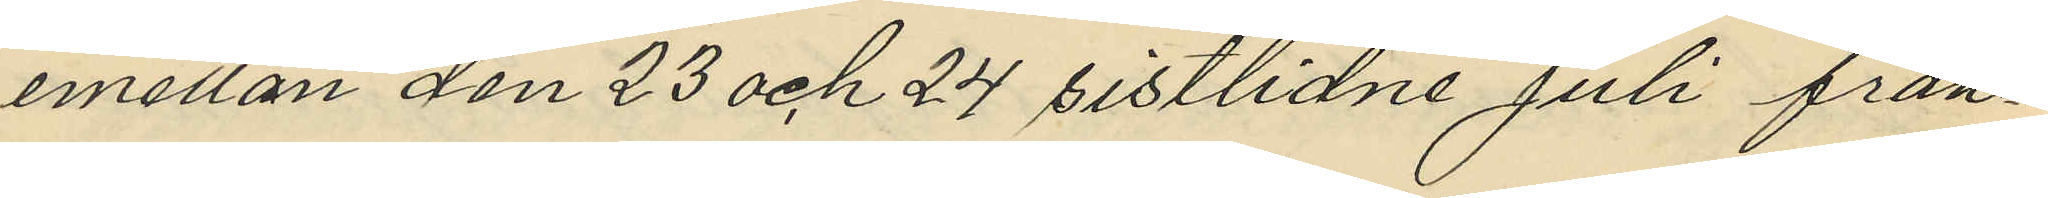emellan den 23 och 24 sistlidne Juli från¬
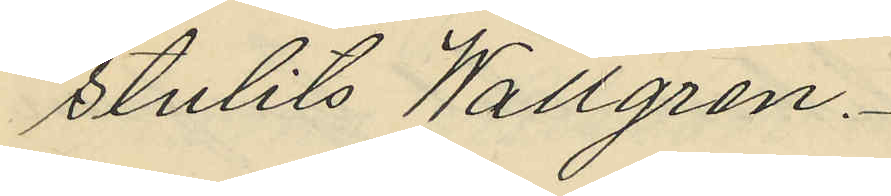stulits Wallgren.
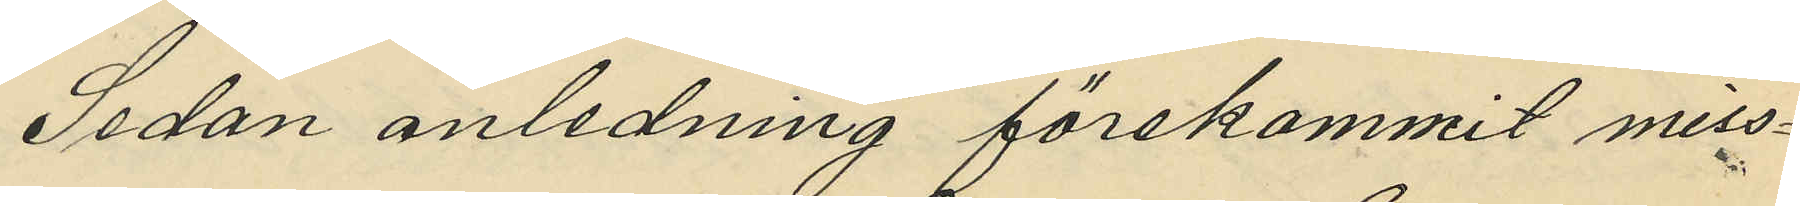Sedan anledning förekommit miss¬
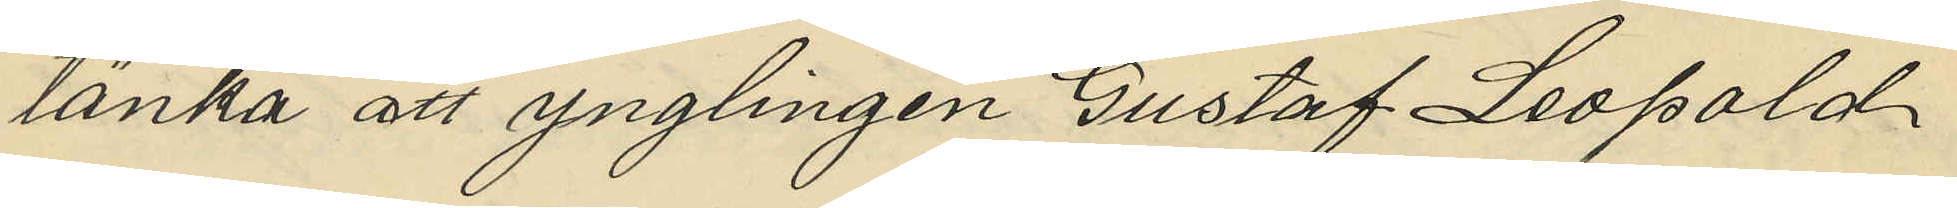tänka att ynglingen Gustaf Leopold
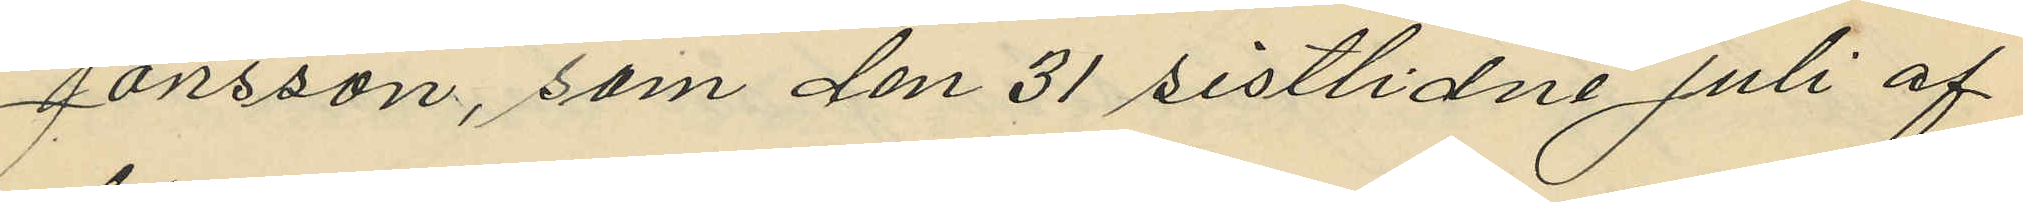Jönsson, som den 31 sistlidne Juli af
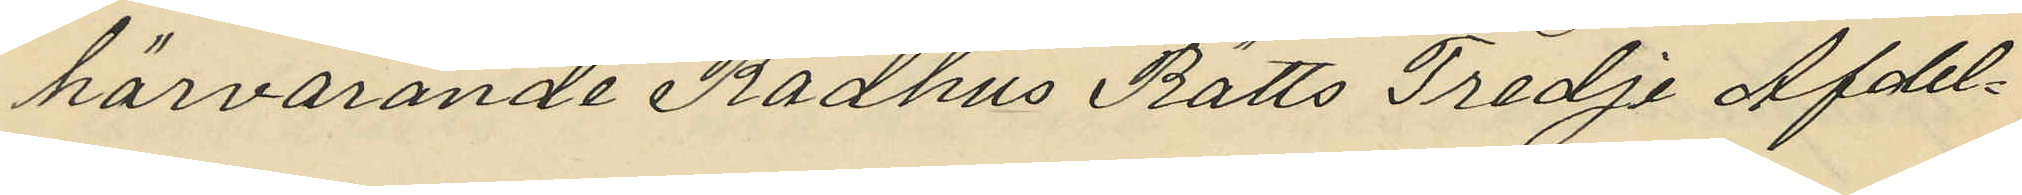härvarande Rådhus Rätts Tredje Afdel¬
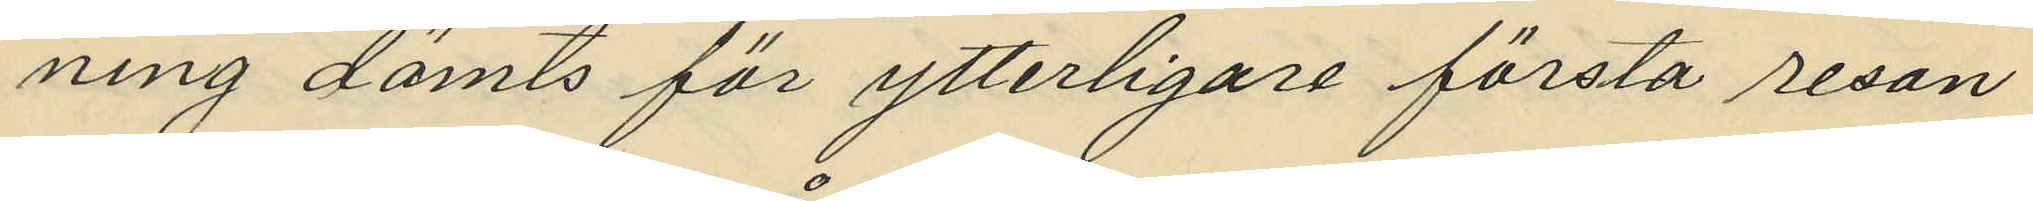ning dömts för ytterligare första resan
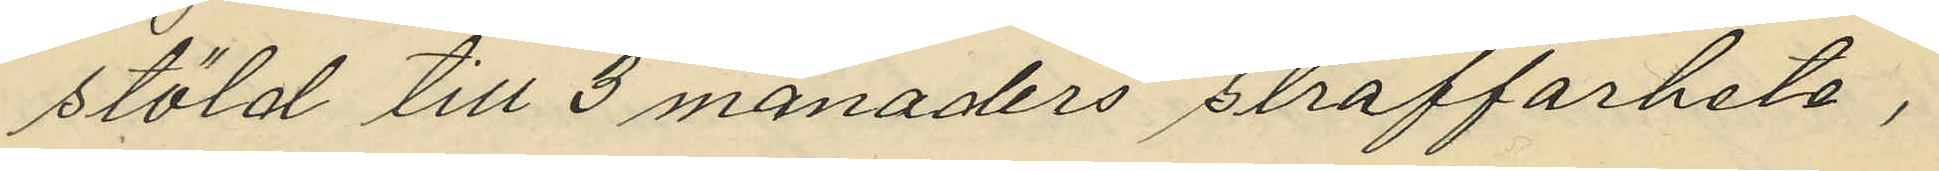stöld till 3 månaders straffarbete,
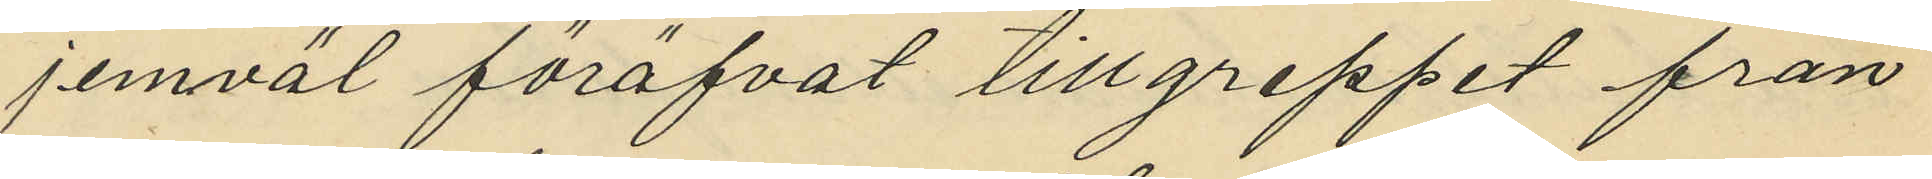jemväl föröfvat tillgreppet från
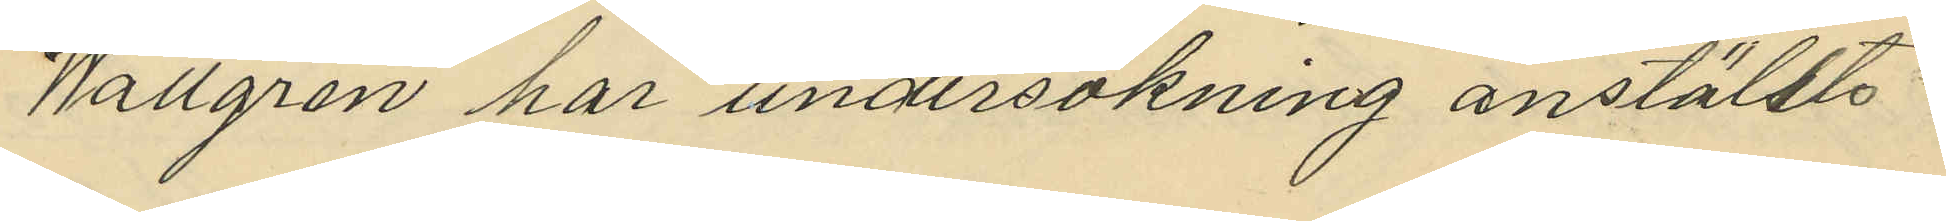Wallgren har undersökning anstäldts
